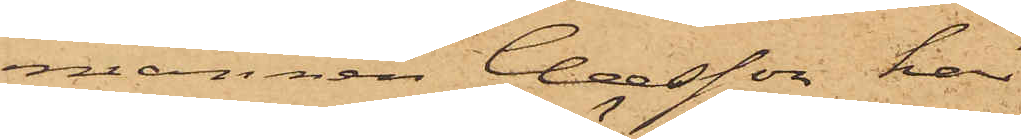mannen Claesson har
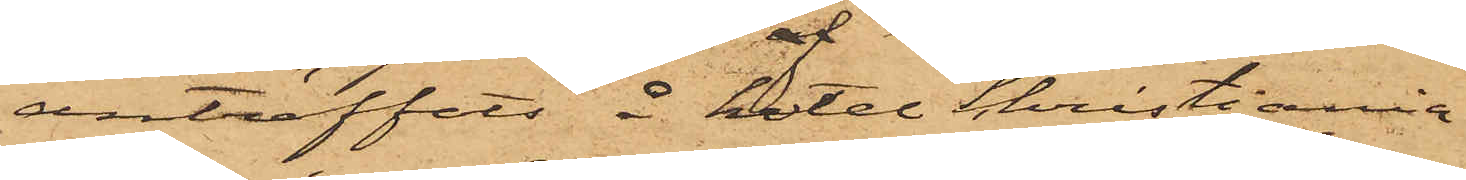anträffats å hotel Christiania
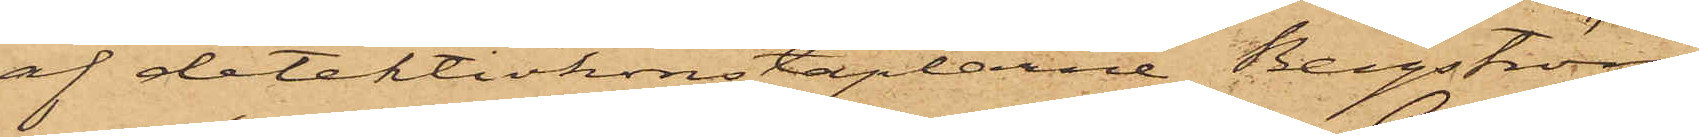af detektivkonstaplarne Bergström
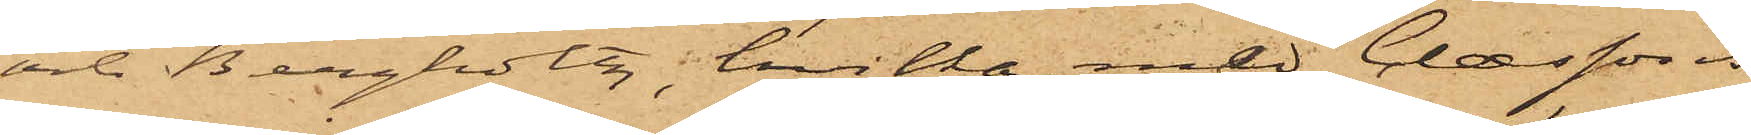och Bergholtz, hvilka med Claessons
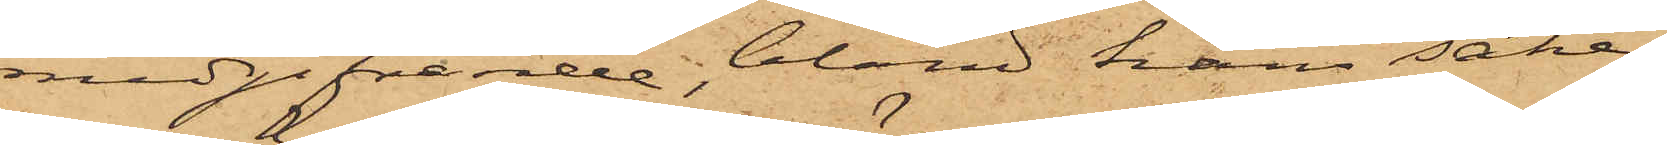medgifvande, bland hans saker
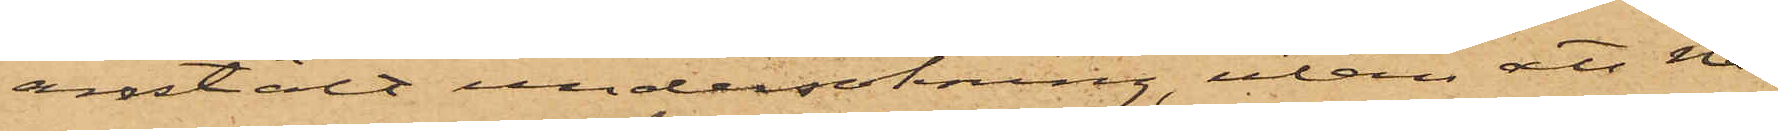anstält undersökning, utan att nå¬
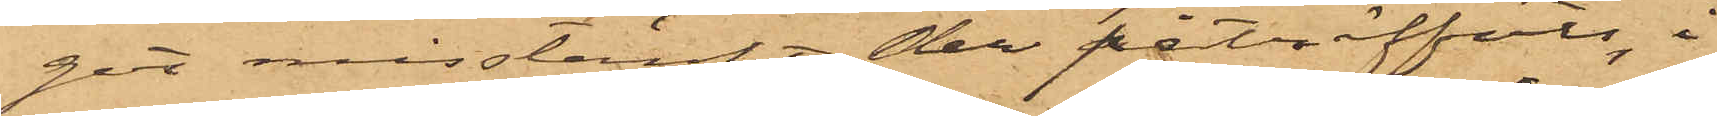got misstänkt der påträffats, i
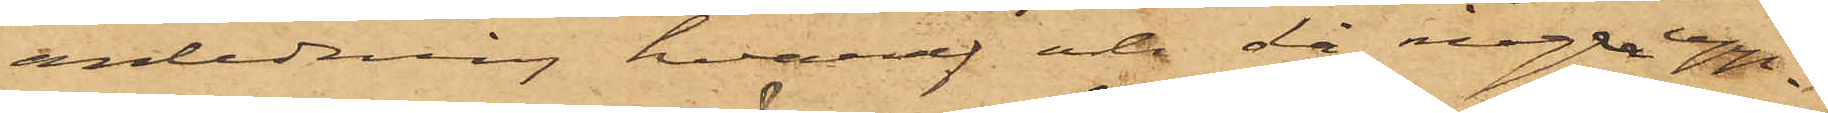anledning, hvaraf och då några upp¬
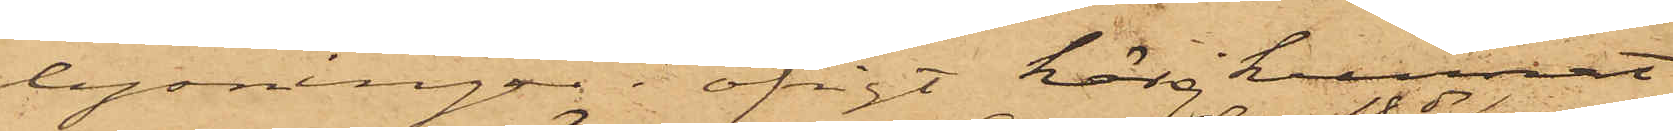lysningar i öfrigt här kunnat
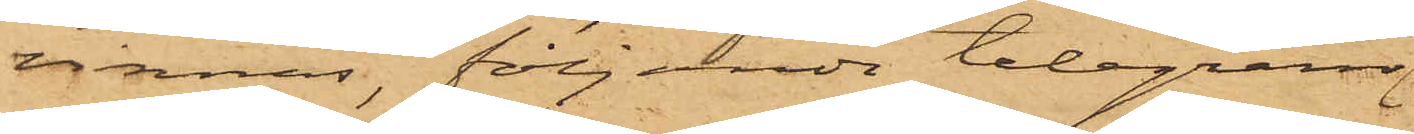vinnas, följande telegram
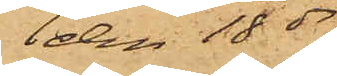den 18 ds
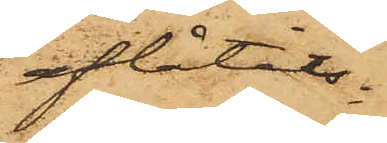aflåtits:
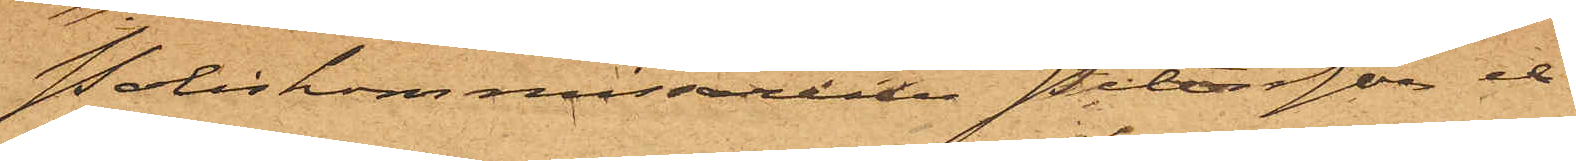"Poliskommissarier Petersson et
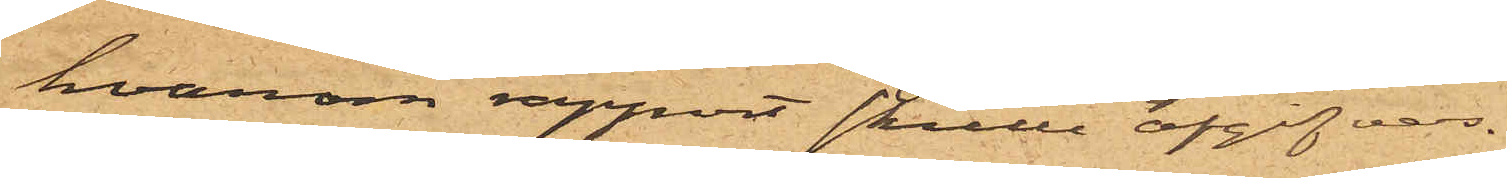hvarom rapport skulle afgifvas.
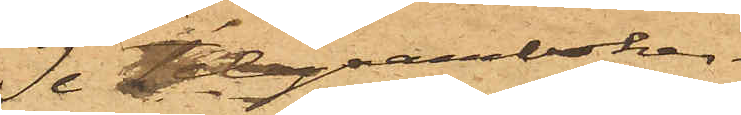Se Telegramboken.
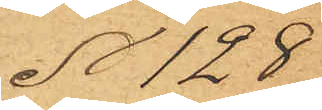No 128.
